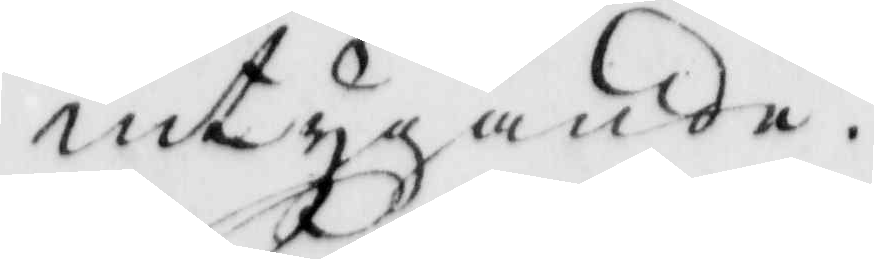intygande.
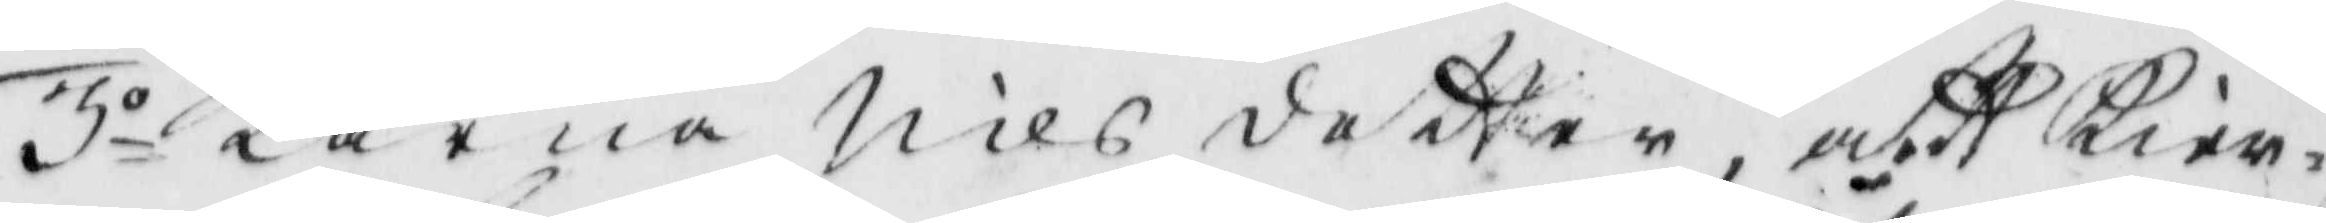3o Karna Nils dotter, att Kier¬
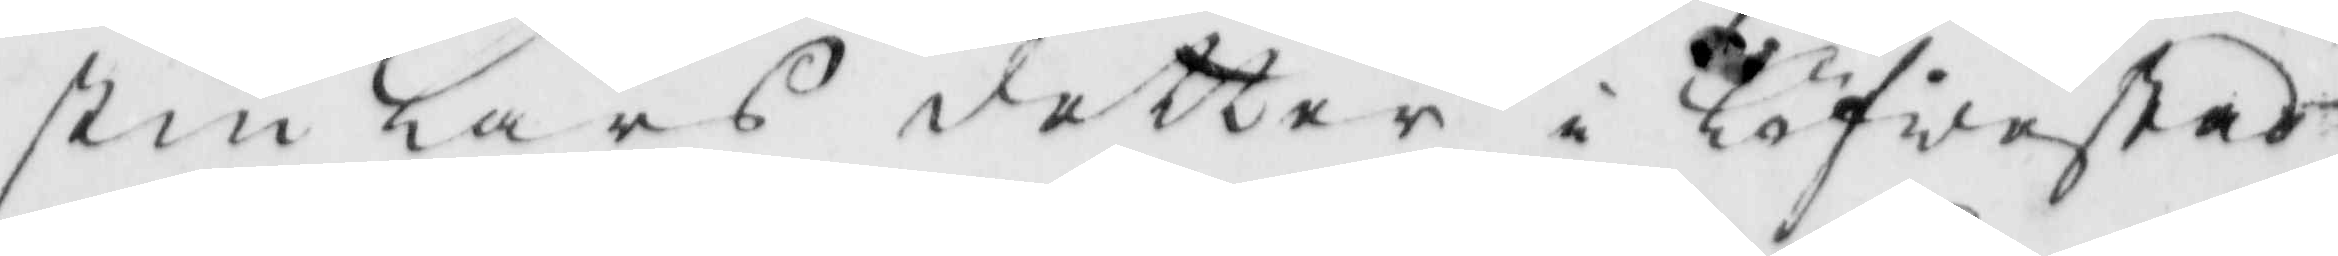stin Lars dotter i Löfwestad
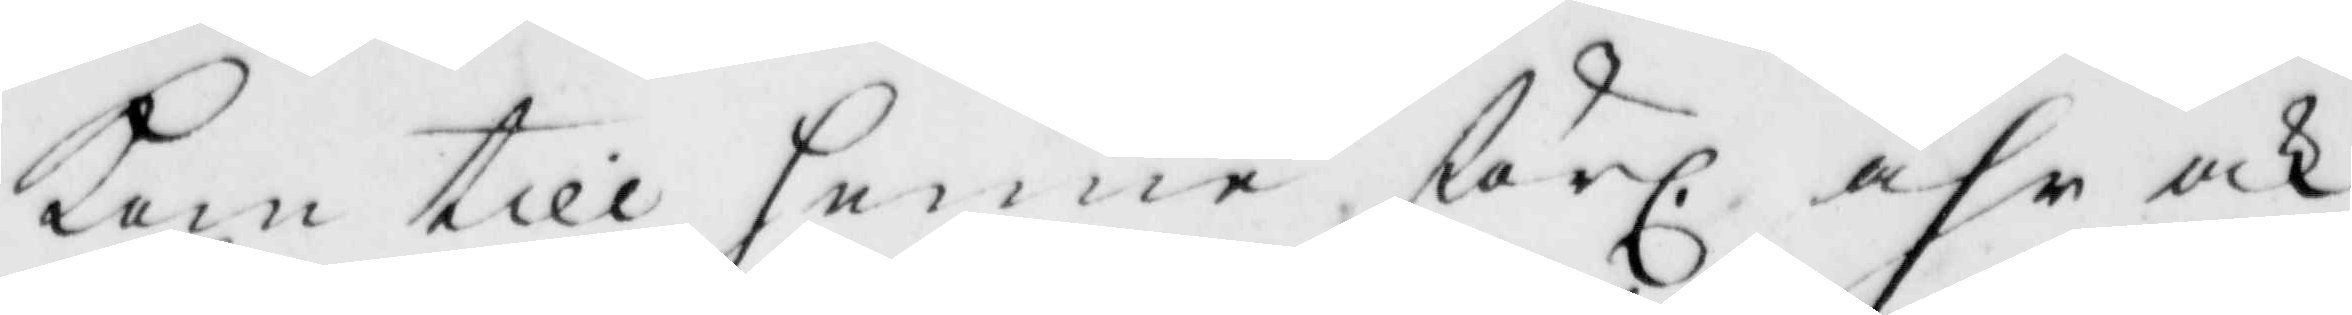kom till henne förl. åhr och
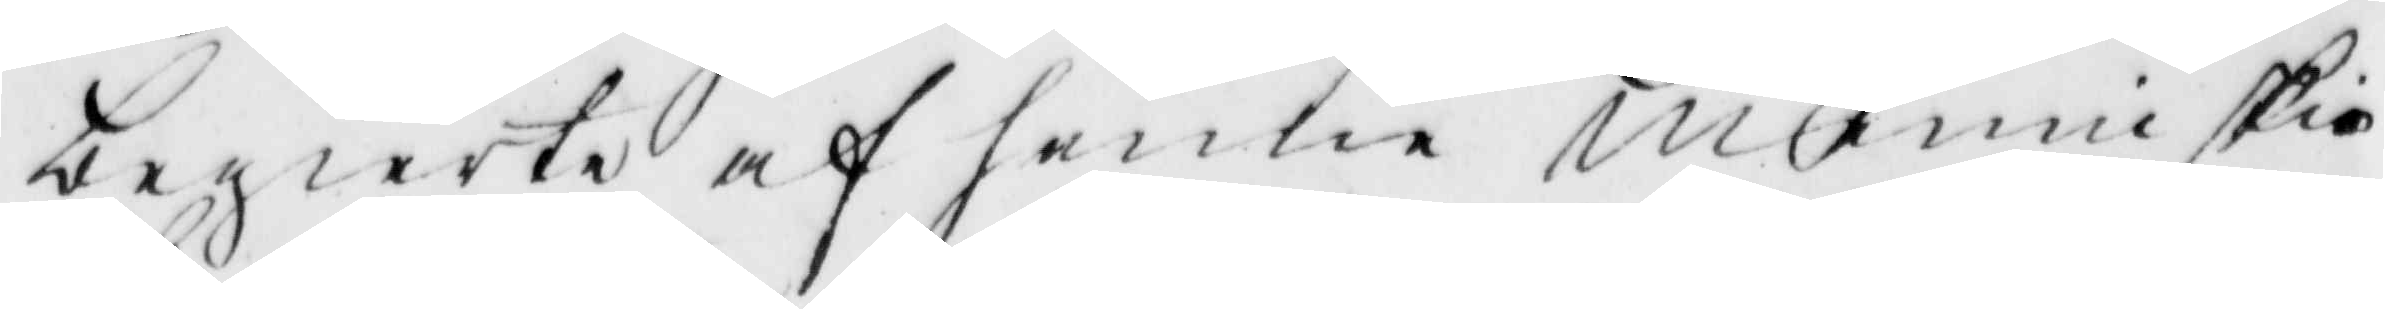begierte af henne menniskio
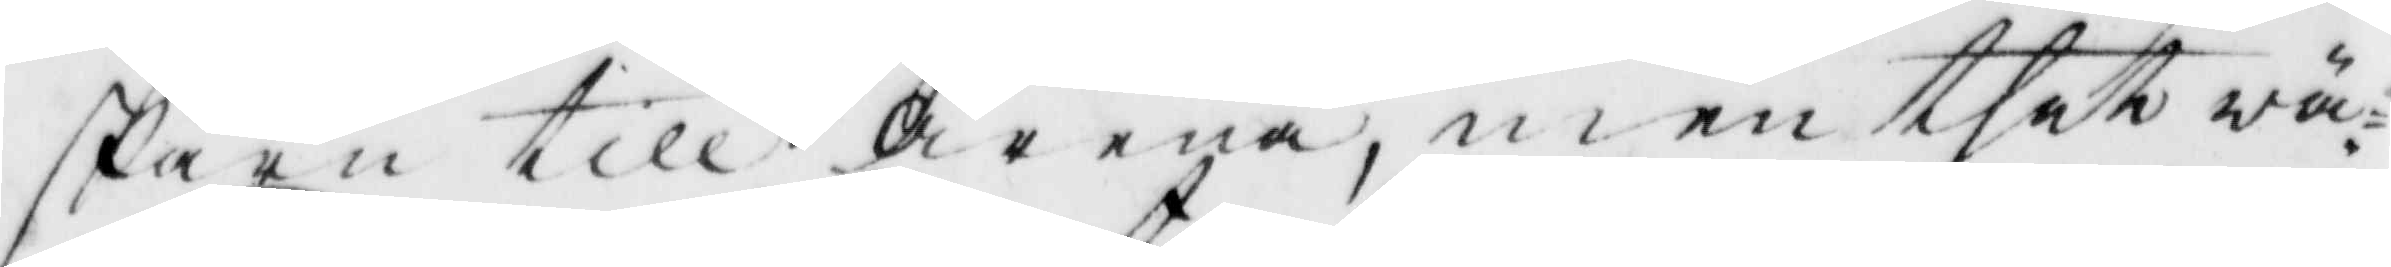skarn till Arena, men thet wä¬
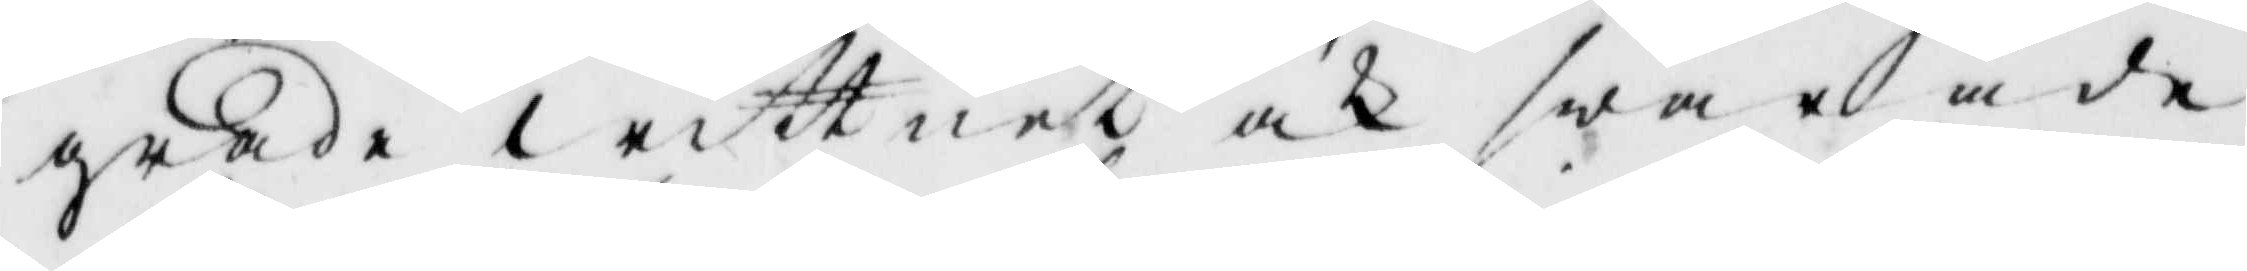grade wittnet ock swarade
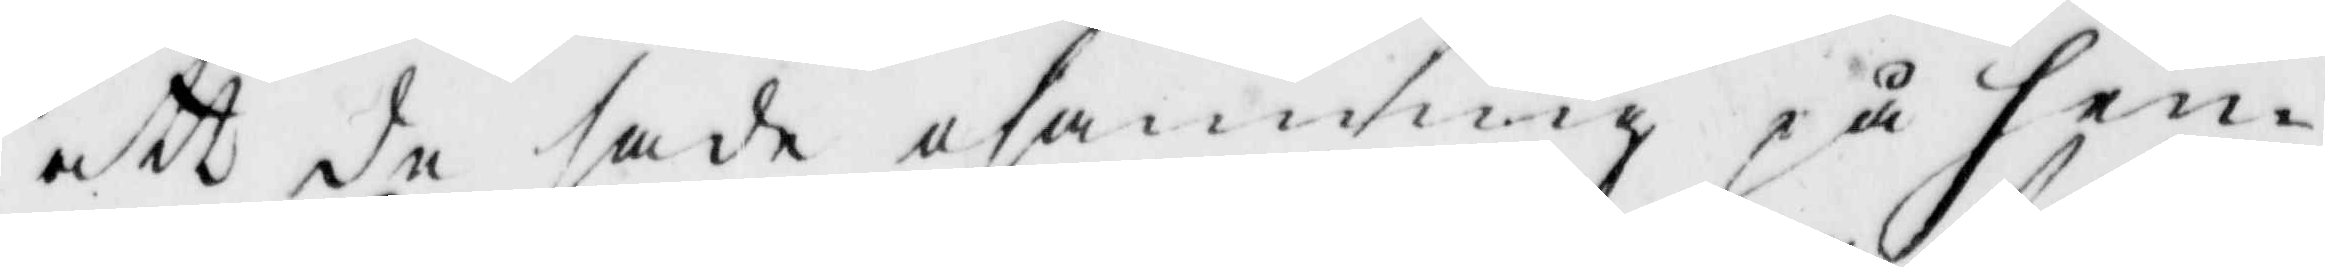att de sade osanning på hen¬
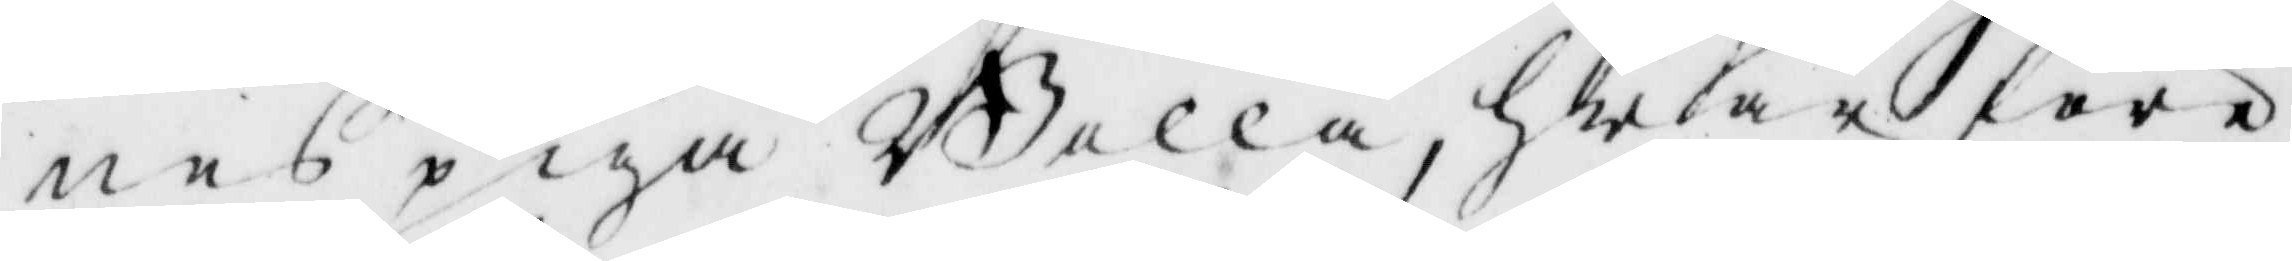nes piga Bolla, hwarföre
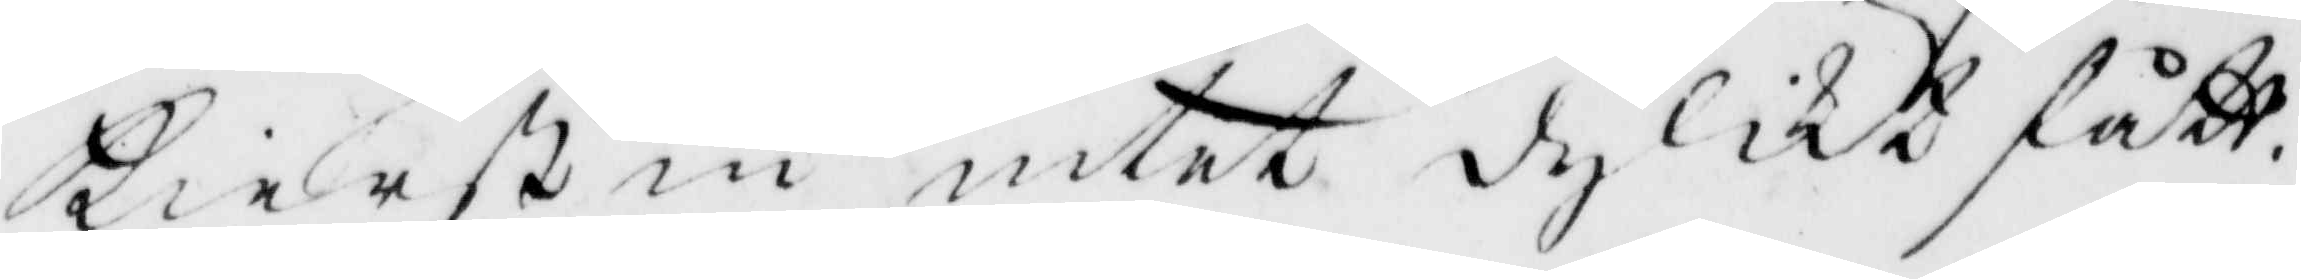Kierstin intet dylikt fått.
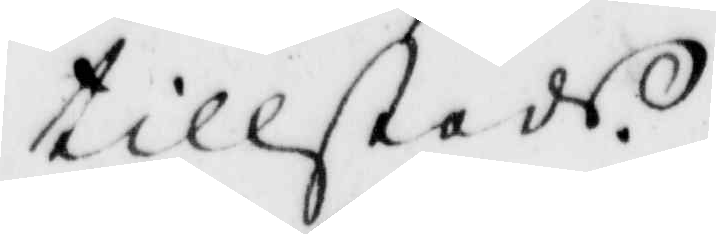tillsteds.
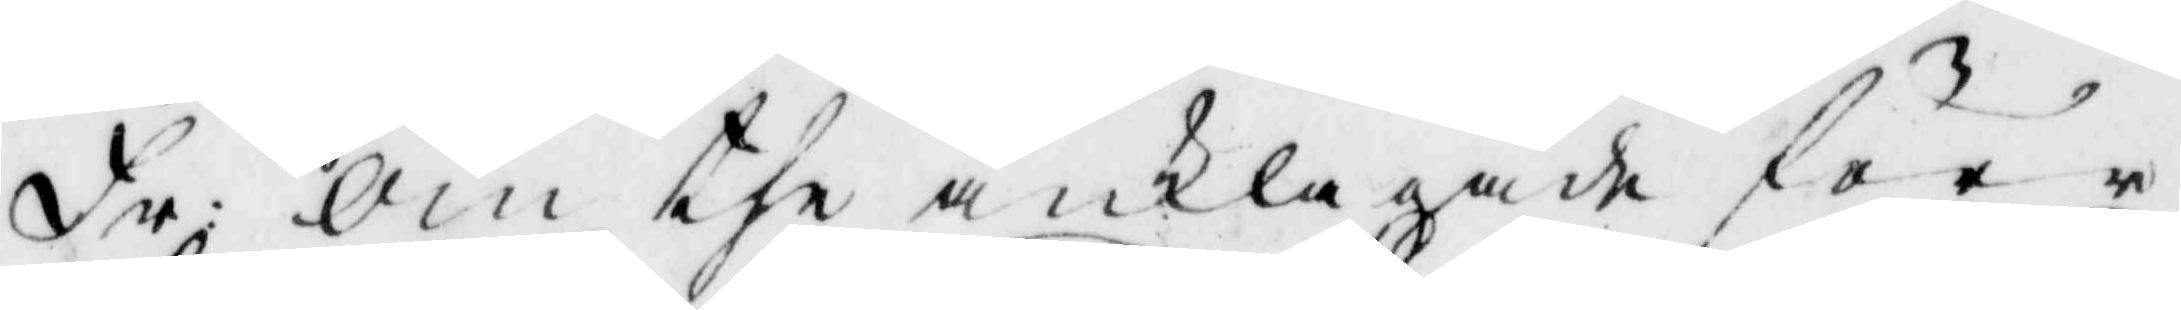Fr: om the anklagde förr
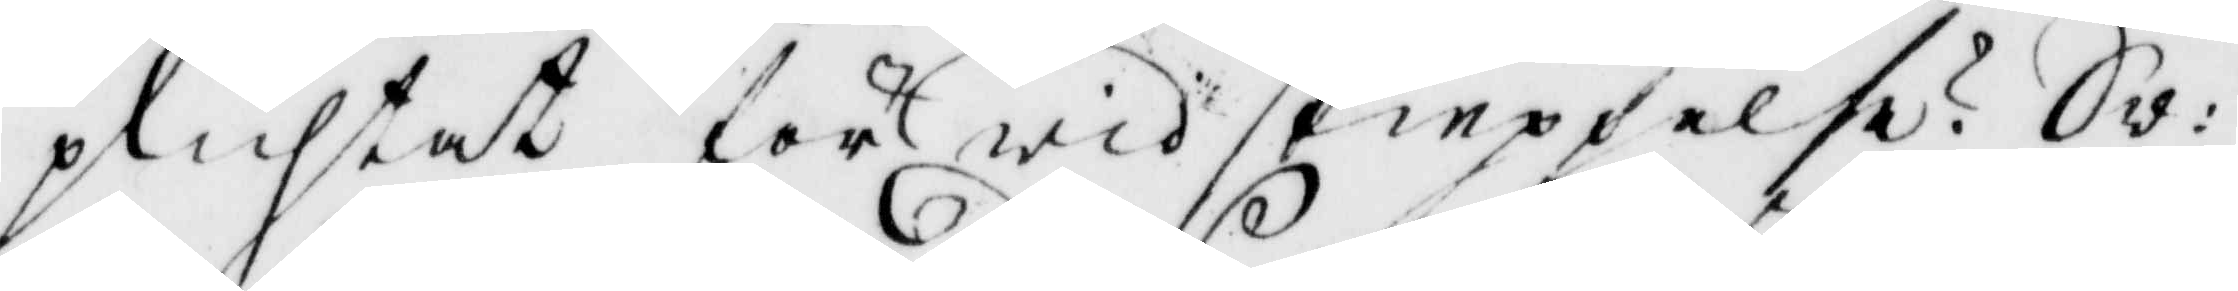plihtat för widskieppelse? Sw:
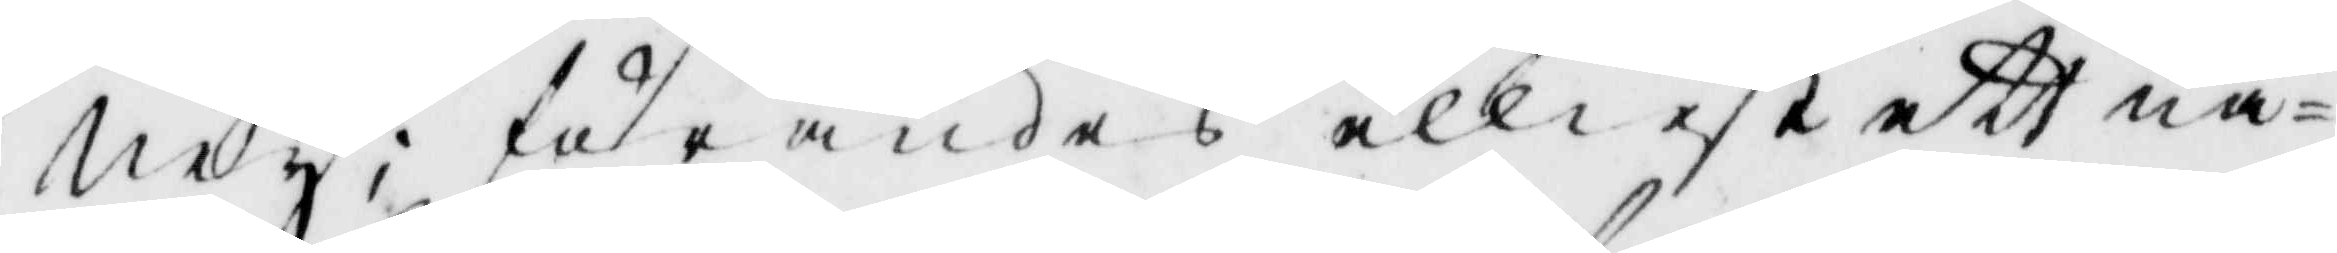Ney; förandes elliest ett nå¬
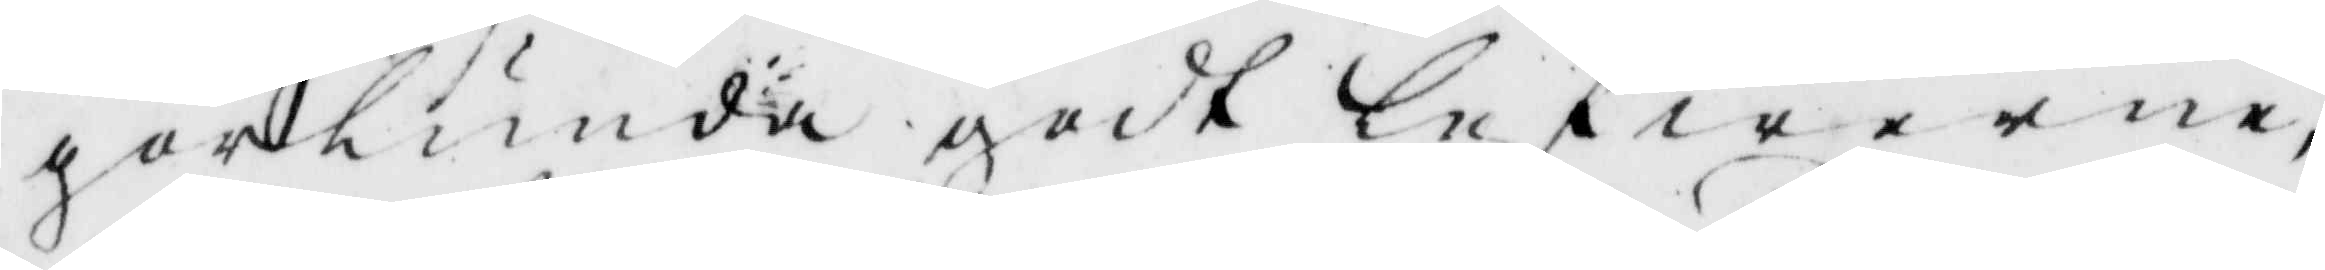gorlunda godt lefwerne,
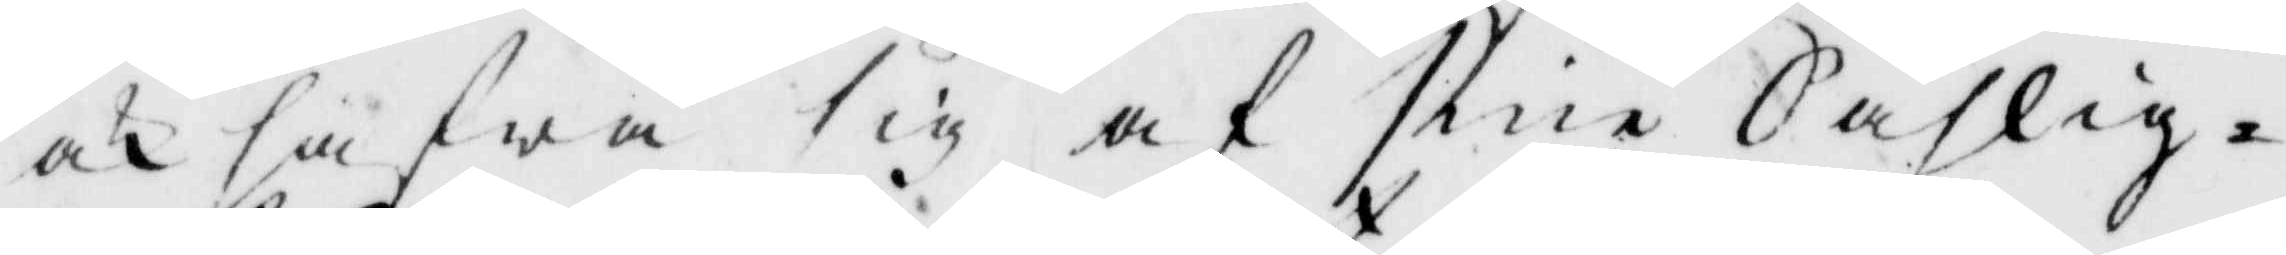och hawa sig af sina Sahlig¬
